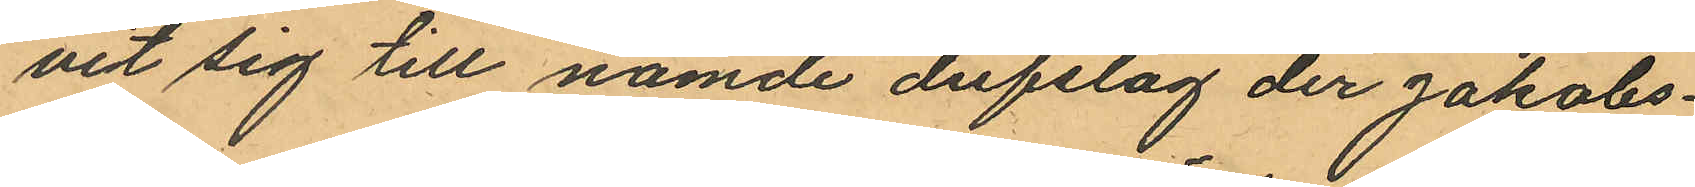vit sig till nämde dufslag der Jakobs¬
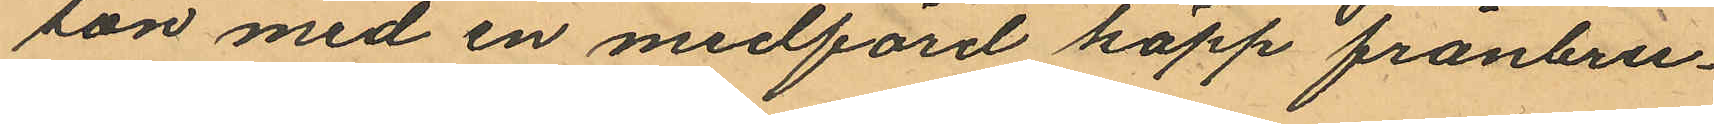son med en medförd käpp frånbru¬
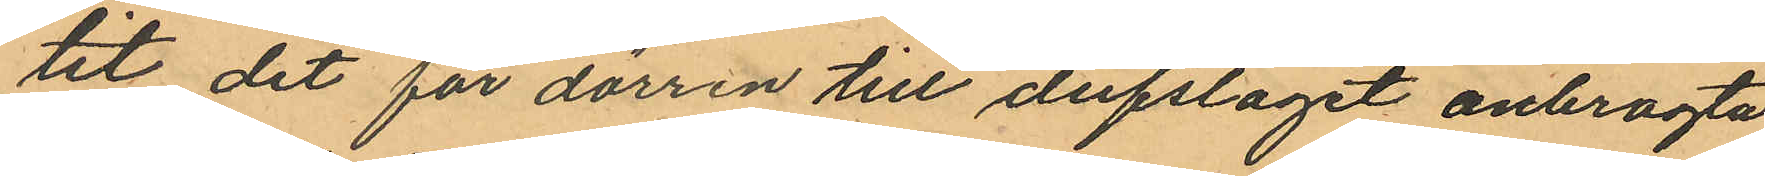tit det för dörren till dufslaget anbragta
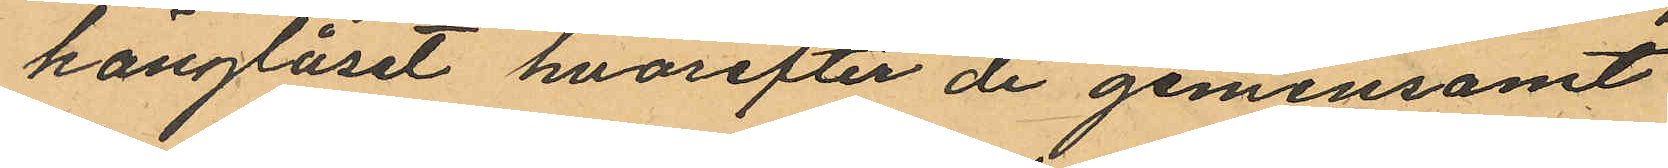hänglåset hvarefter de gemensamt
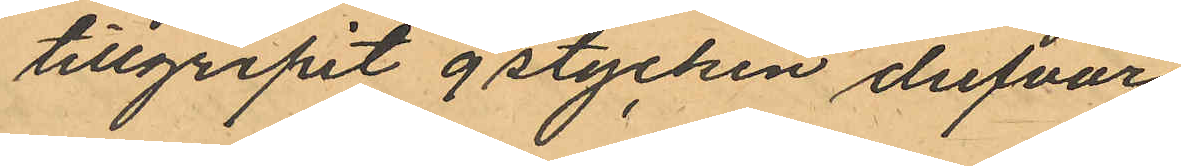tillgripit 9 stycken dufvor,
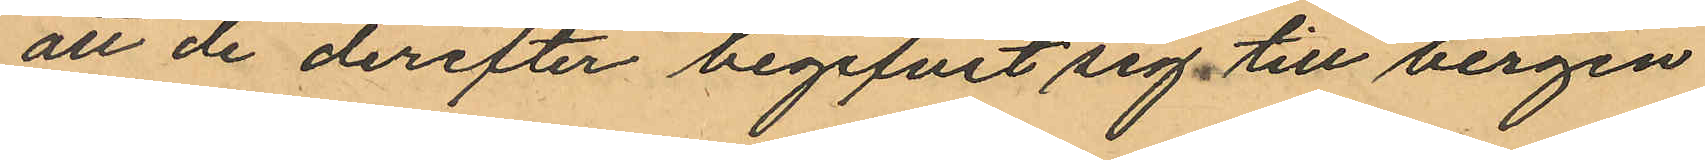att de derefter begifvit sig till bergen
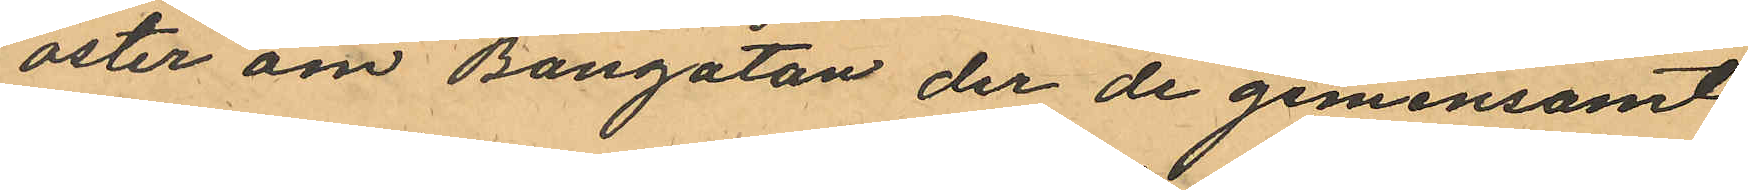öster om Bangatan der de gemensamt
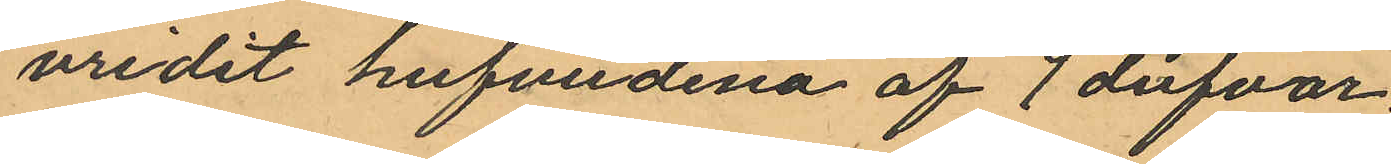vridit hufvudena af 7 dufvor.
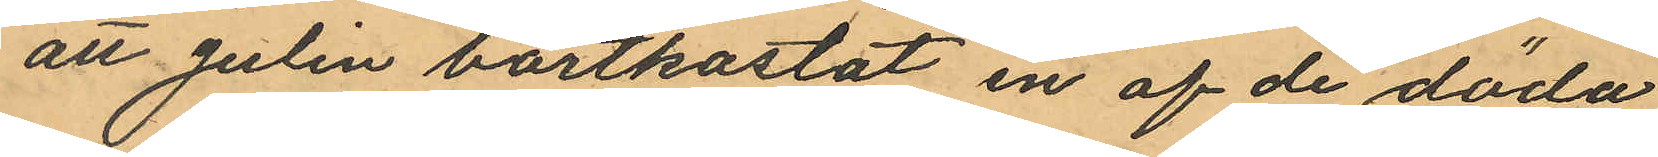att Julin bortkastat en af de döda
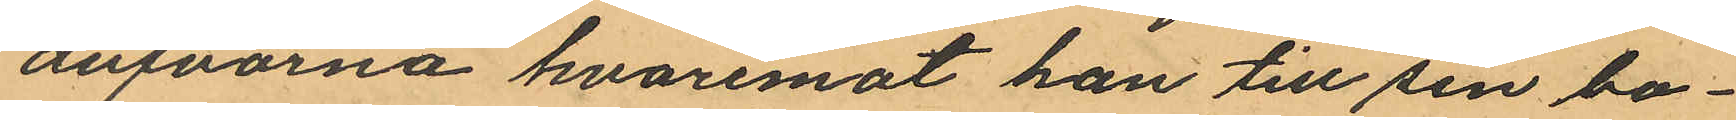dufvorna hvaremot han till sin bo¬
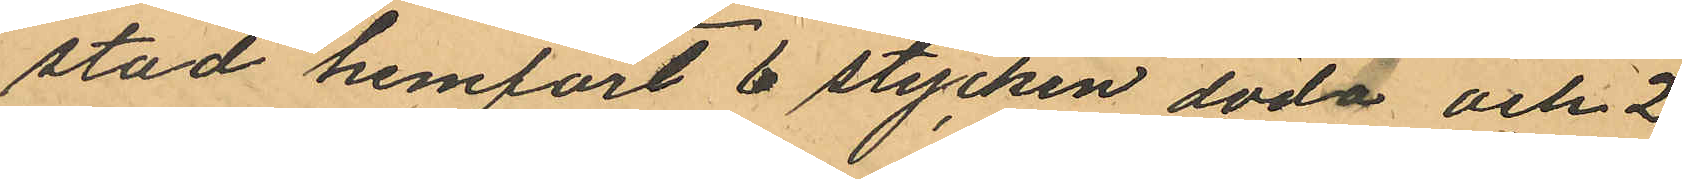stad hemfört 6 stycken döda och 2
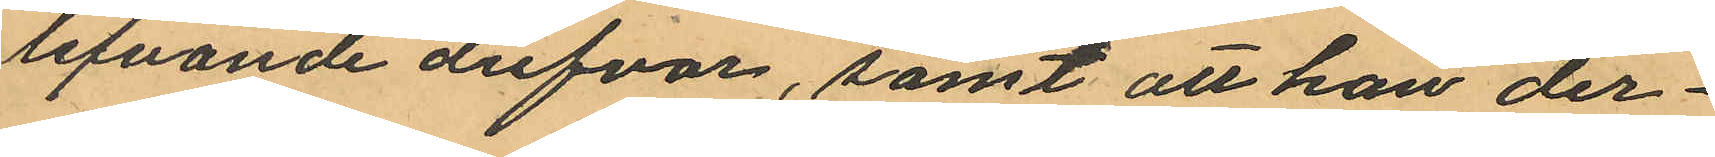lefvande dufvor, samt att han der¬
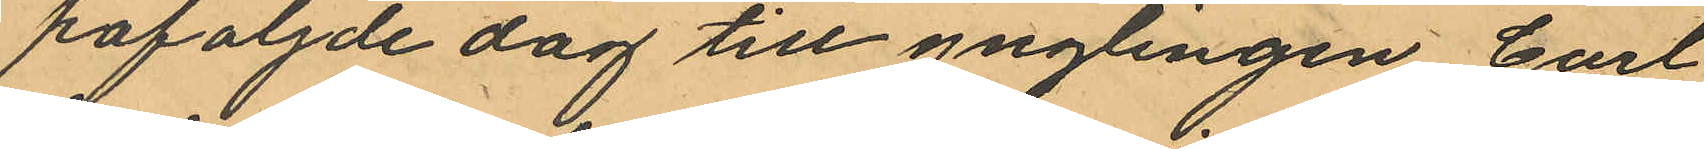påföljde dag till ynglingen Carl
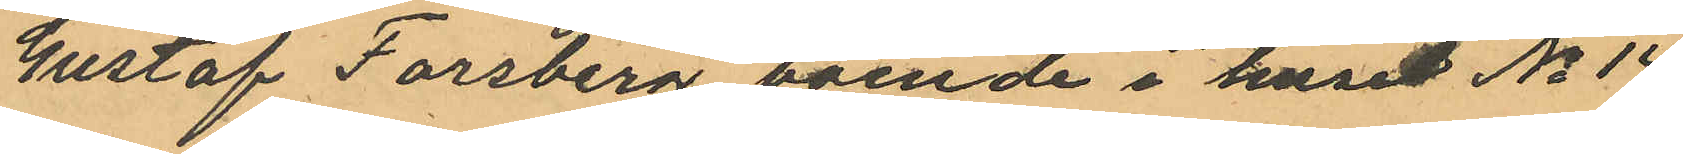Gustaf Forsberg, boende i huset No 14
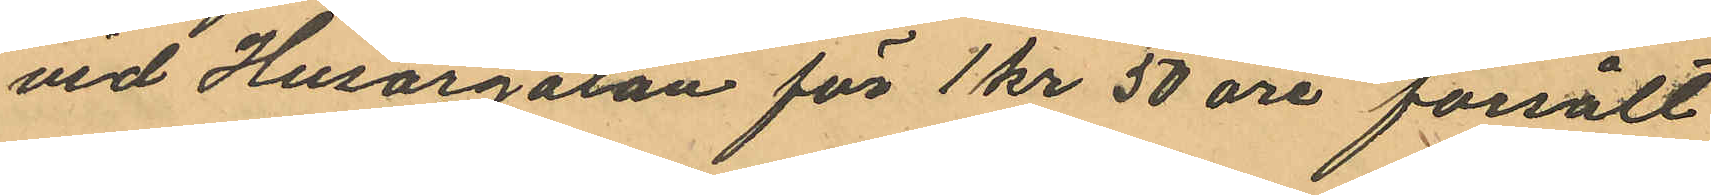vid Husargatan för 1 kr 50 öre försålt
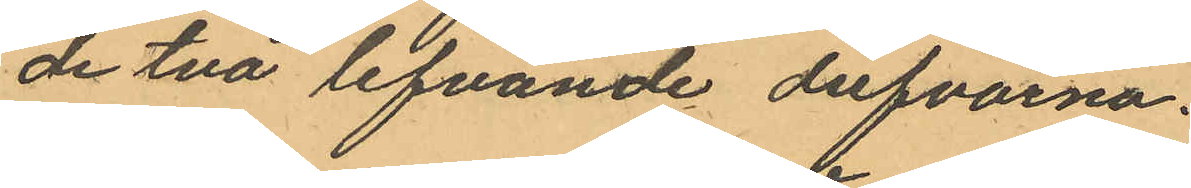de två lefvande dufvorna.
